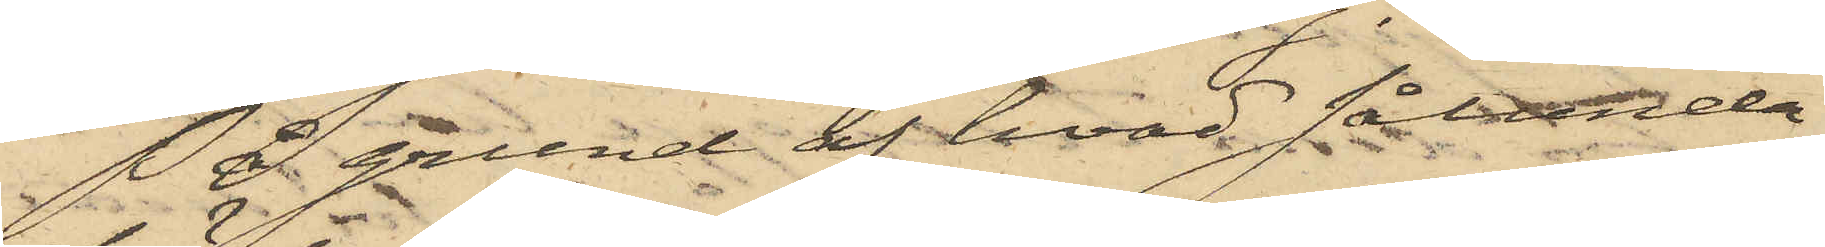På grund af hvad sålunda
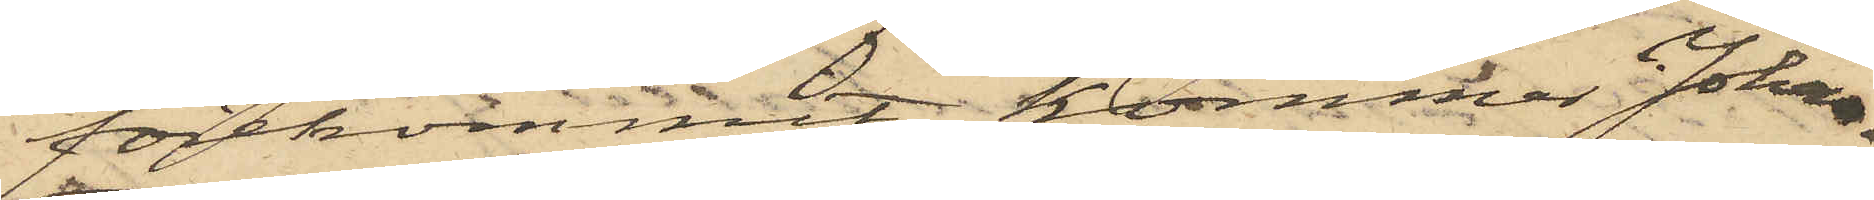förekommit, kommer Johan
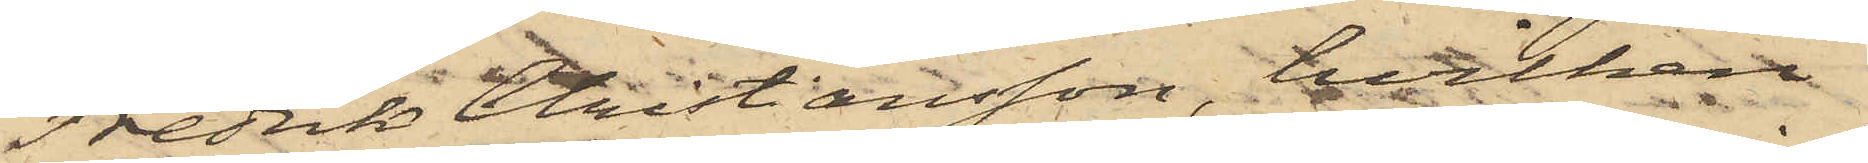Fredrik Christiansson, hvilken
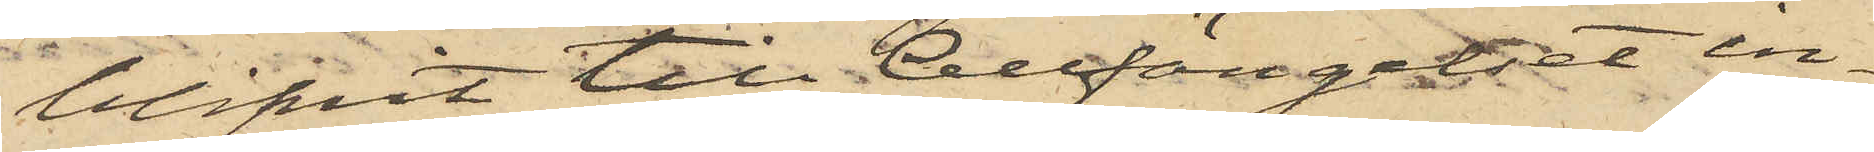blifvit till Cellfängelset in¬
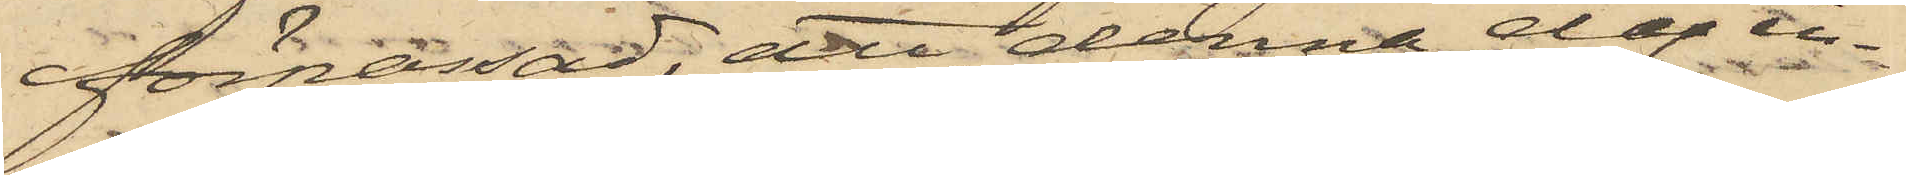förpassad, att denna dag in¬
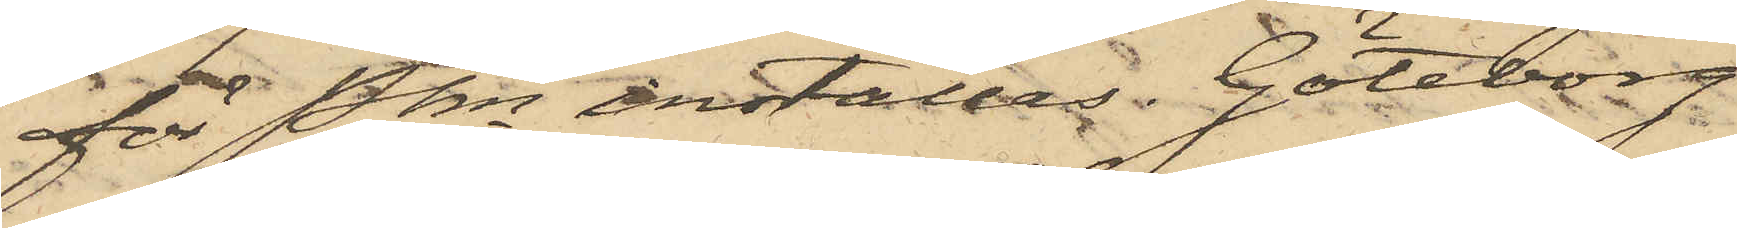för Pkn inställas. Göteborg
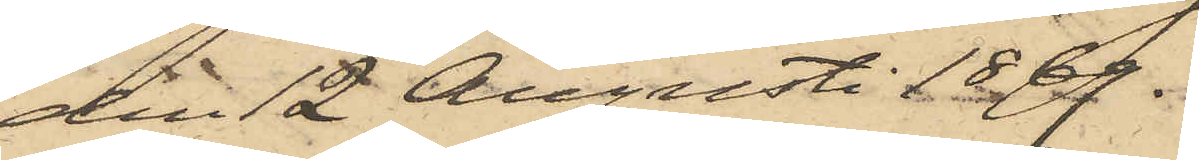den 12 Augusti 1869.
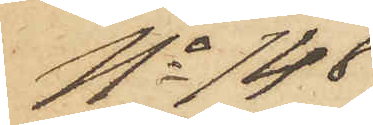No 148
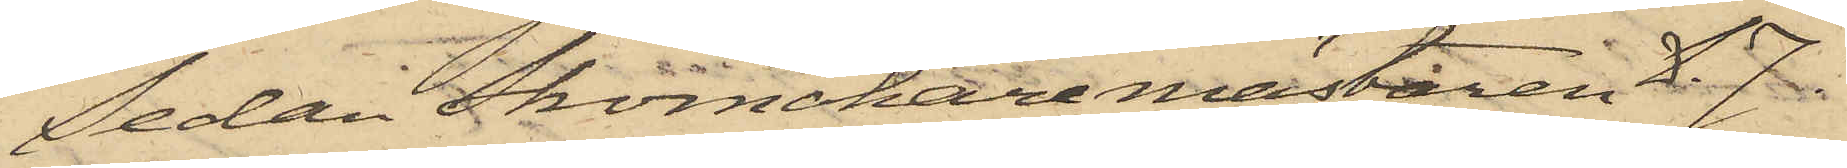Sedan Skomakaremästaren L. J.
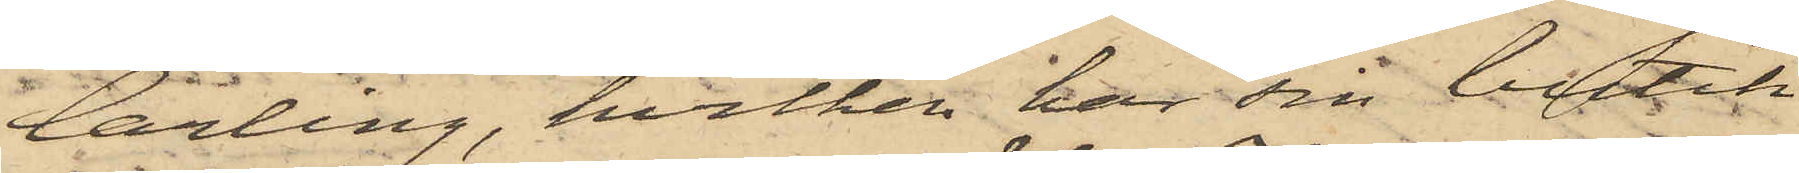Carling, hvilken har sin butik
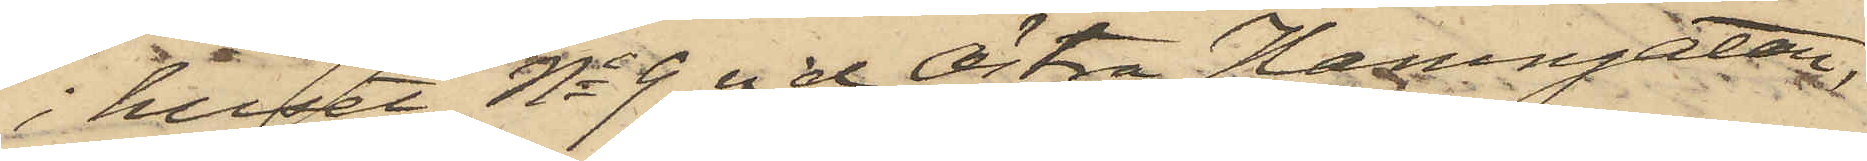i huset No 9 vid Östra Hamngatan,
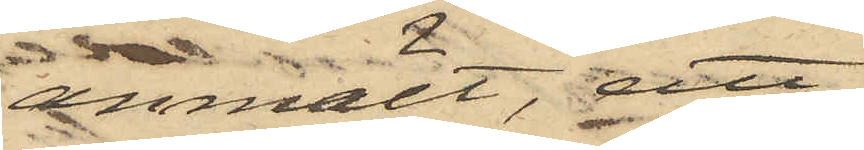anmält, att
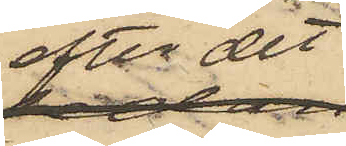efter det
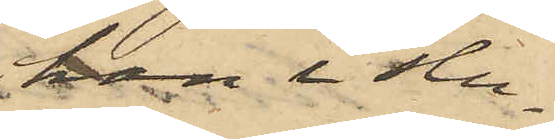han i slu¬
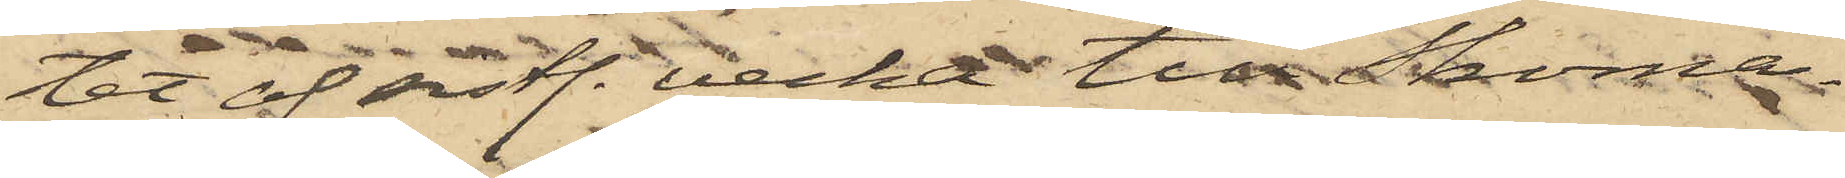tet af sistl. vecka till Skoma¬
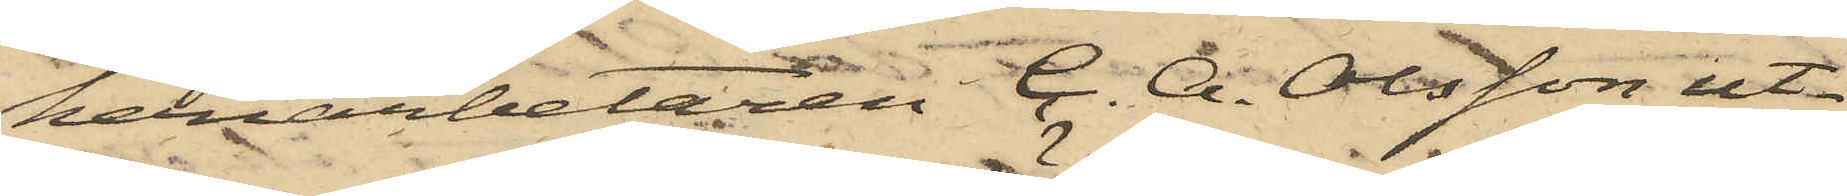keriarbetaren C. A. Olsson ut¬
